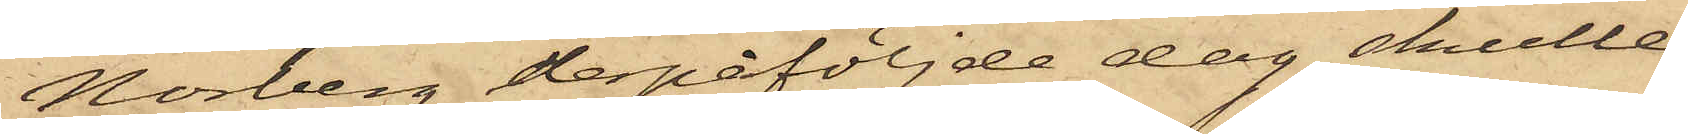Norberg derpåföljde dag skulle
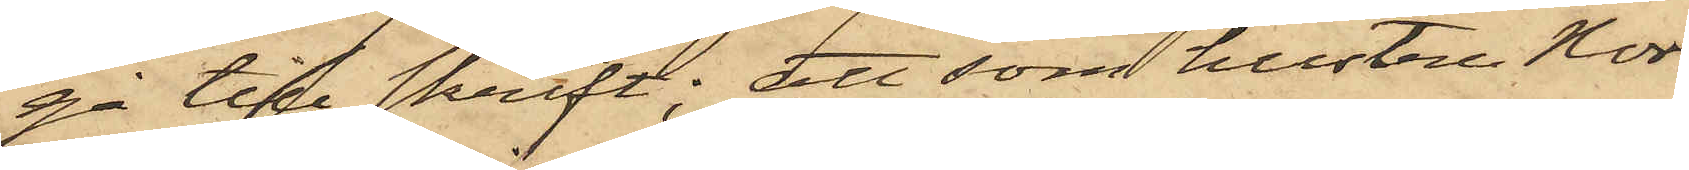gå till skrift; att som hustru Nor¬
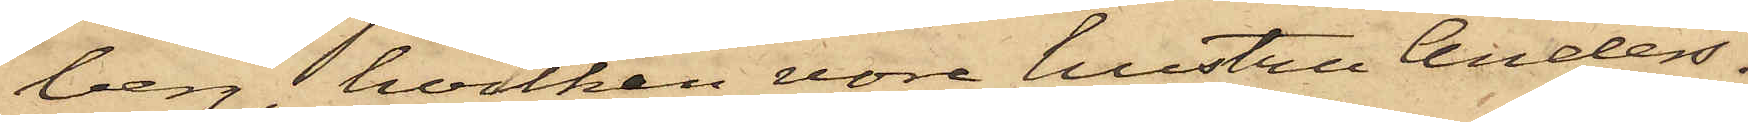berg, hvilken vore hustru Anders¬
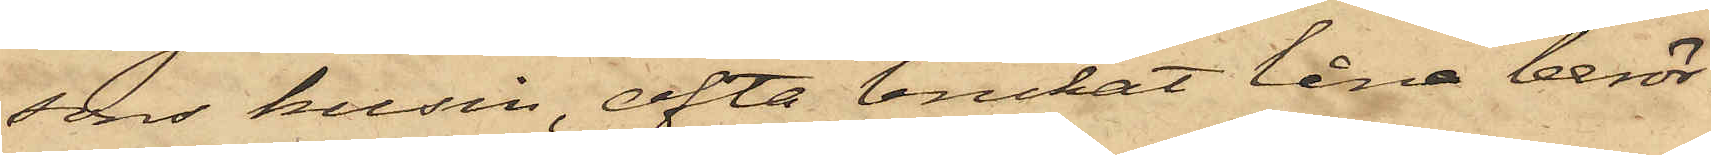sons kusin, ofta brukat låna berör¬
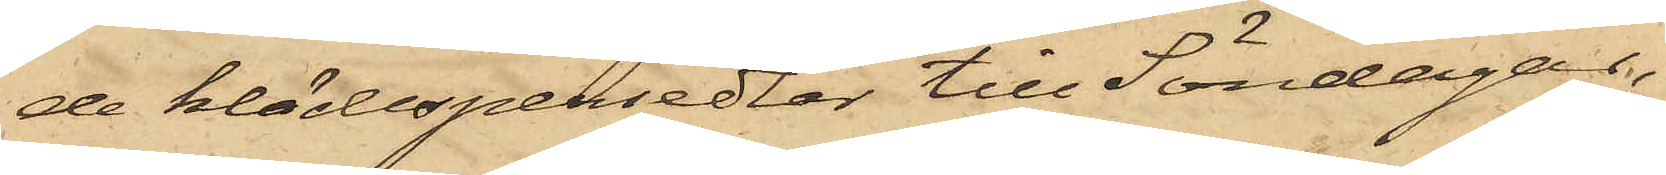de klädespersedlar till Söndagar,
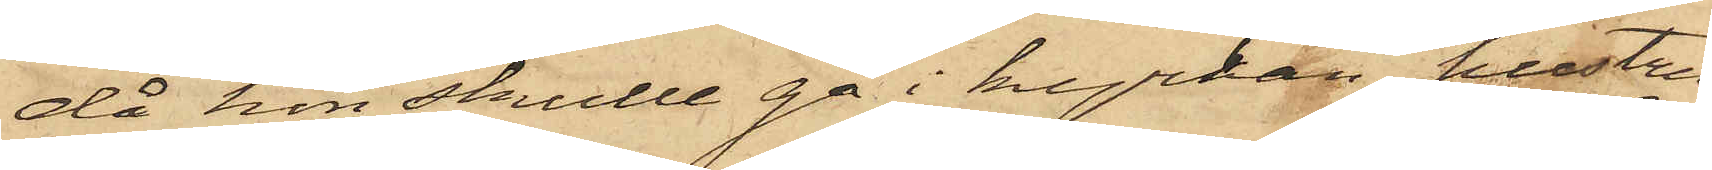då hon skulle gå i kyrkan, hustru
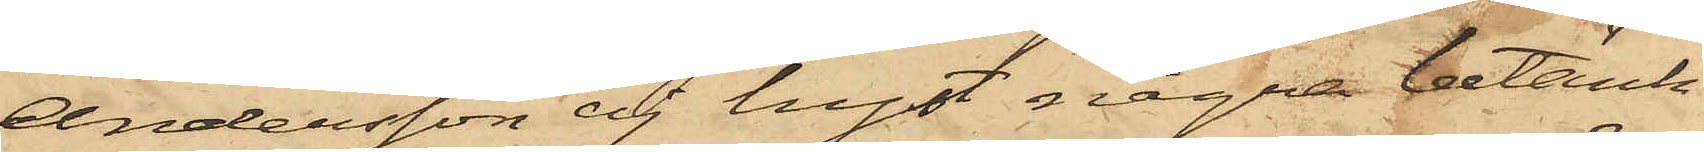Andersson ej hyst några betänk¬
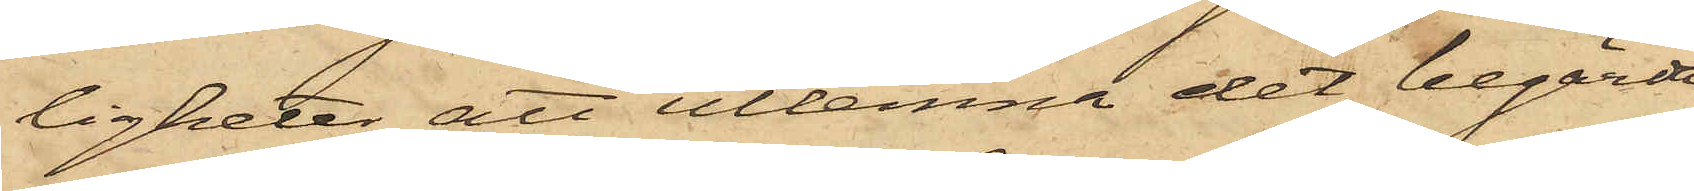ligheter att utlemna det begärde
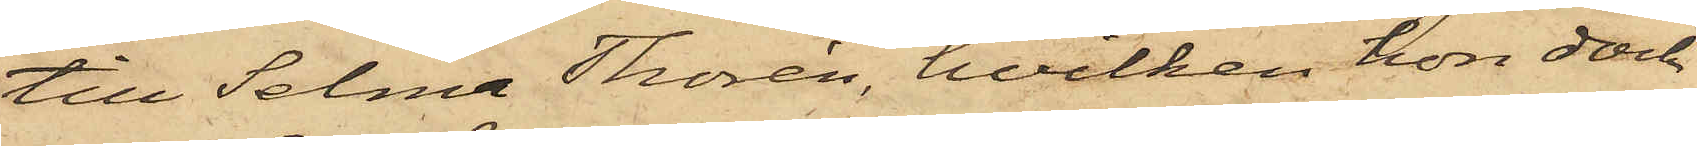till Selma Thorén, hvilken hon dock
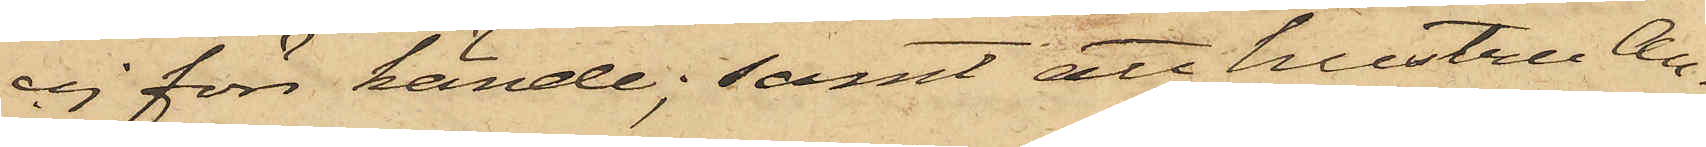ej förr kände; samt att hustru An¬
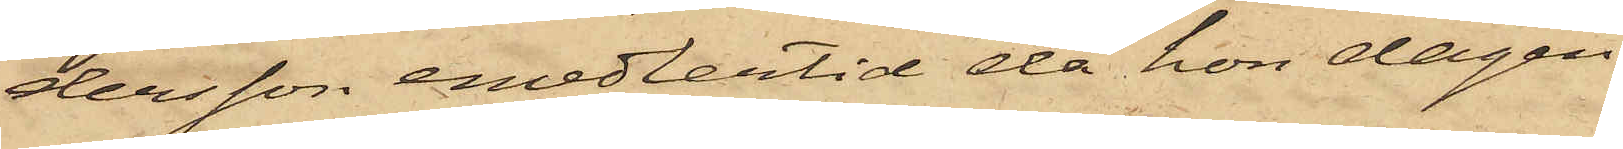dersson emedlertid då hon dagen
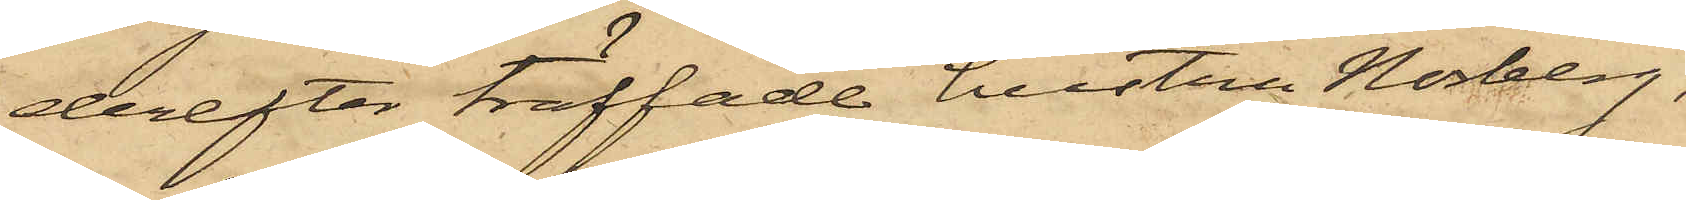derefter träffade hustru Norberg,
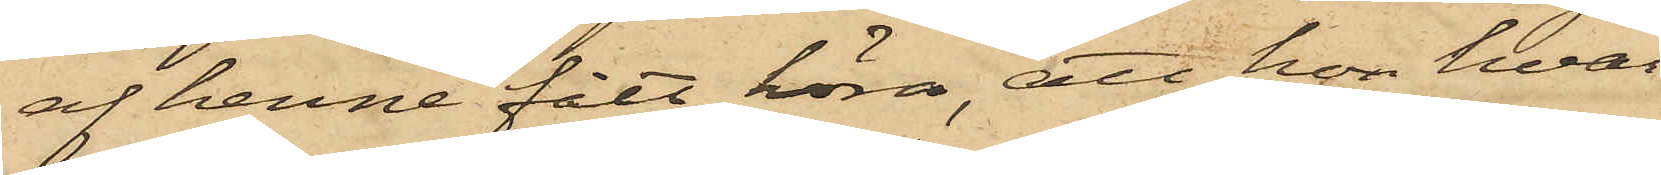af henne fått höra, att hon hvar¬
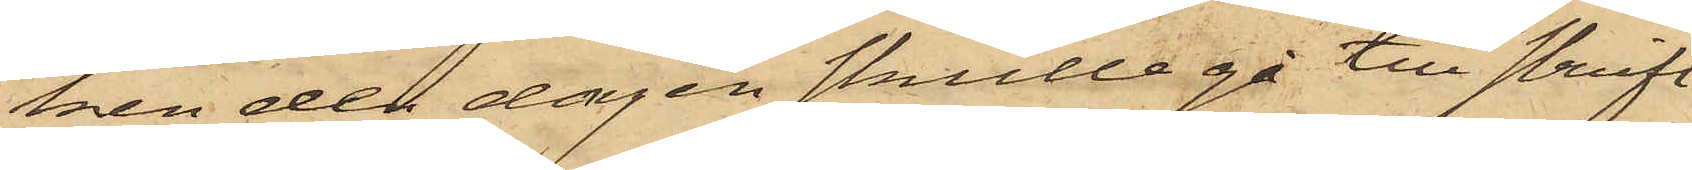ken den dagen skulle gå till skrift
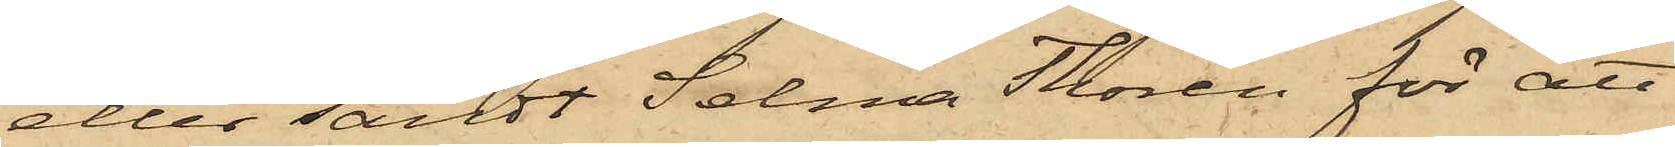eller sändt Selma Torén för att
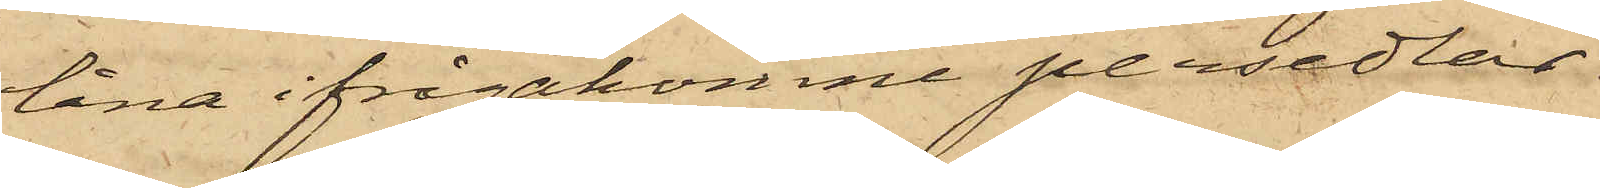låna ifrågakomne persedlar
